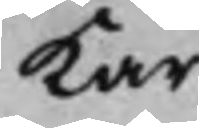kar,
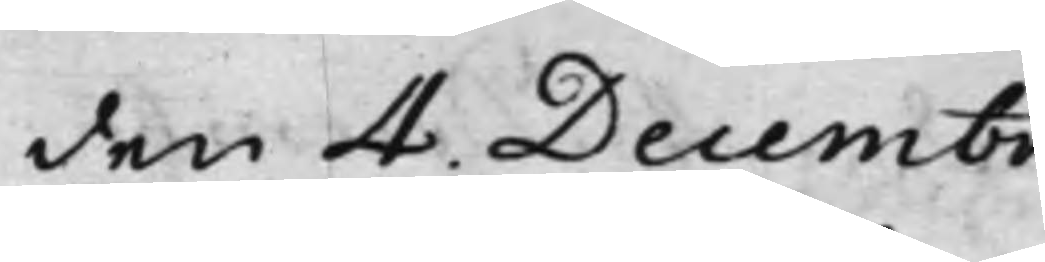den 4. Decembr.
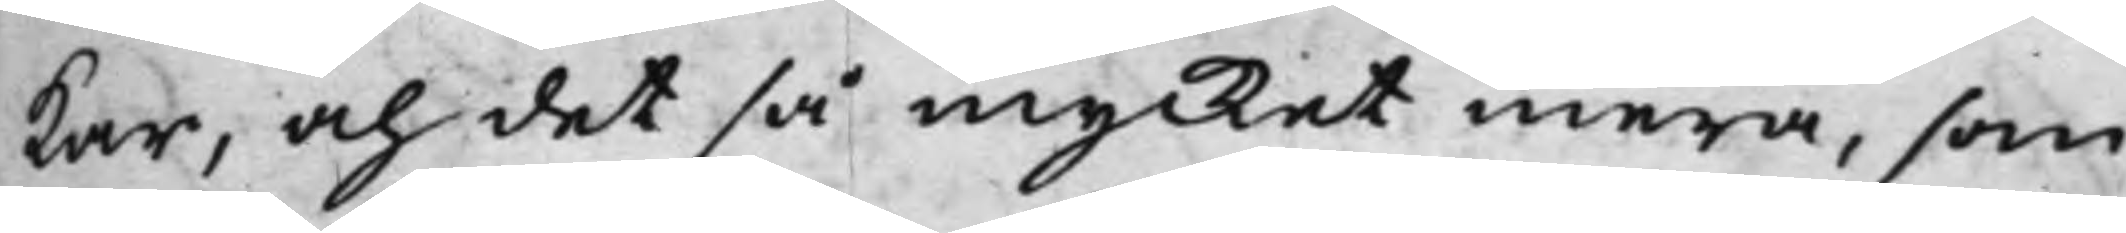kar, och det så mycket mera, som
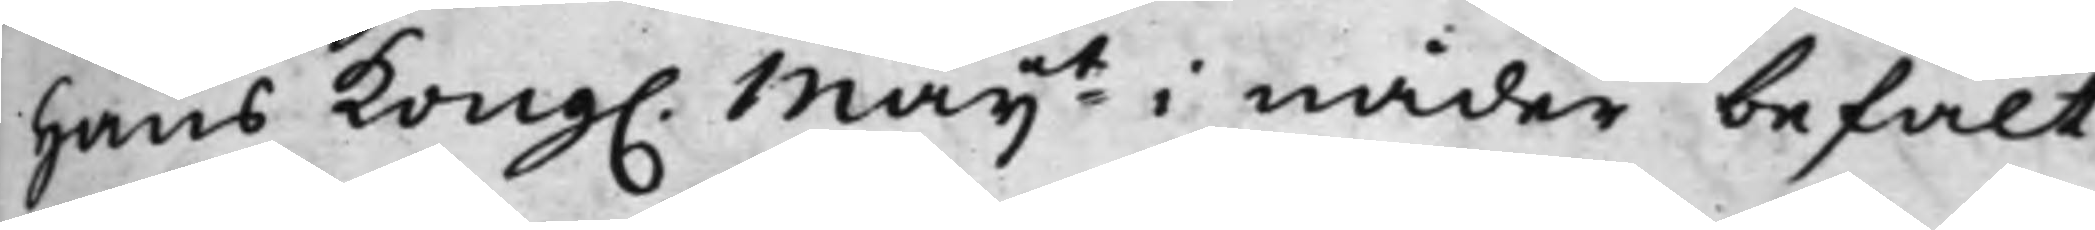hans Kong. Maijt i nåder befalt,
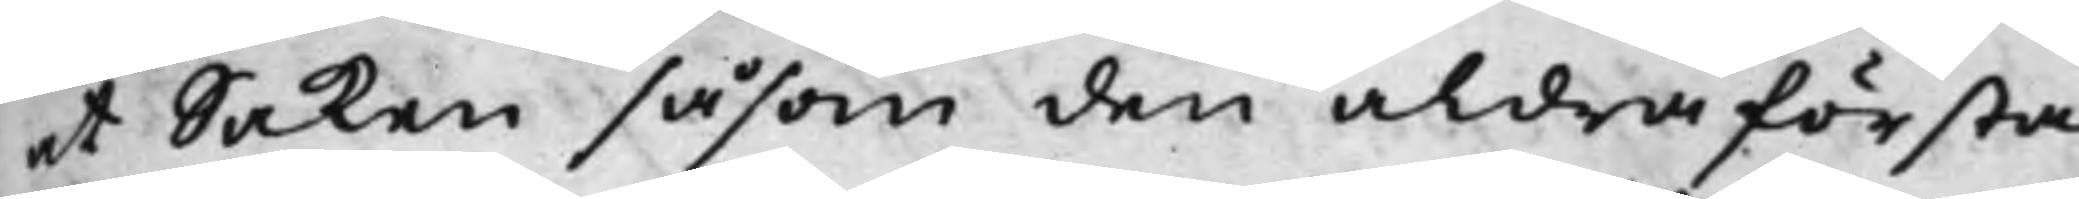at Saken såsom den aldra första
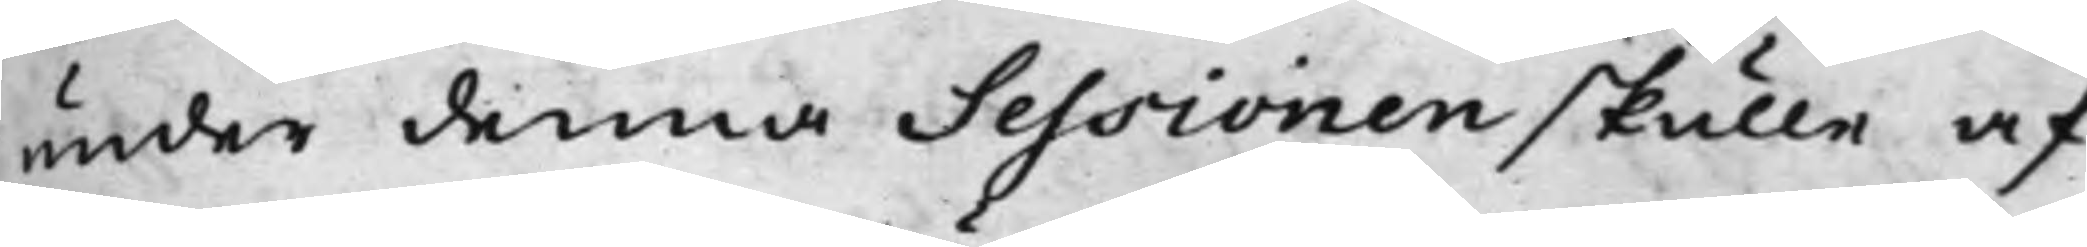under denna Sessionen skulle af¬
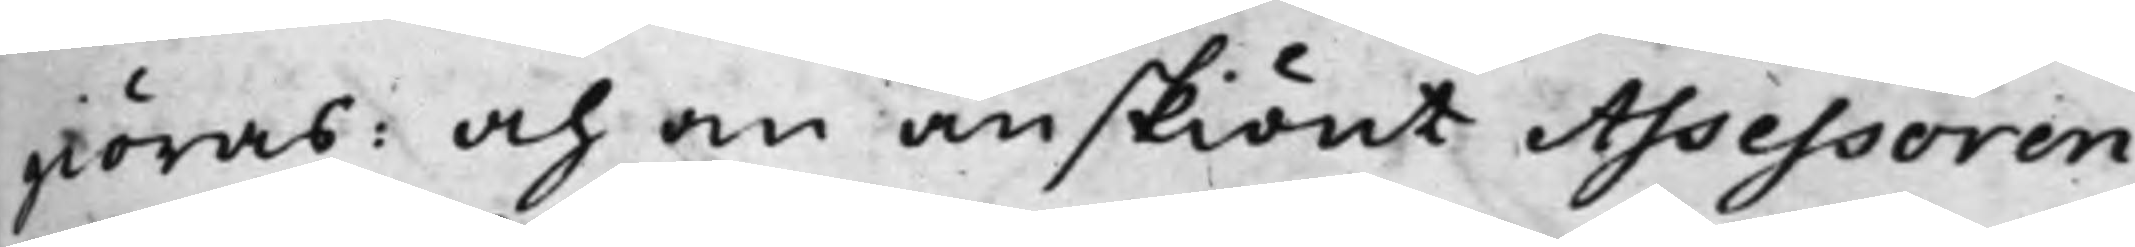giöras: och om än skiönt Assessoren
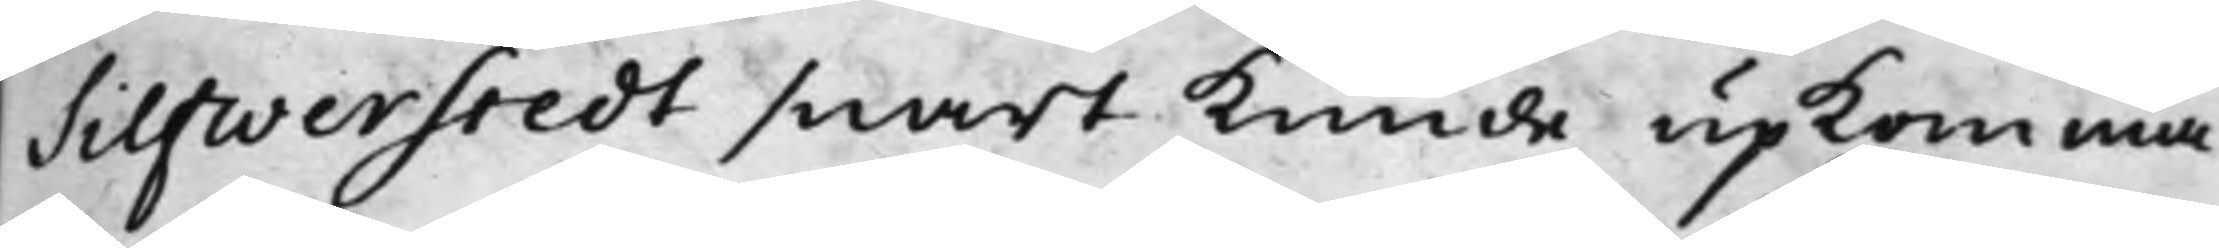Silfwerstedt snart kunde upkomma,
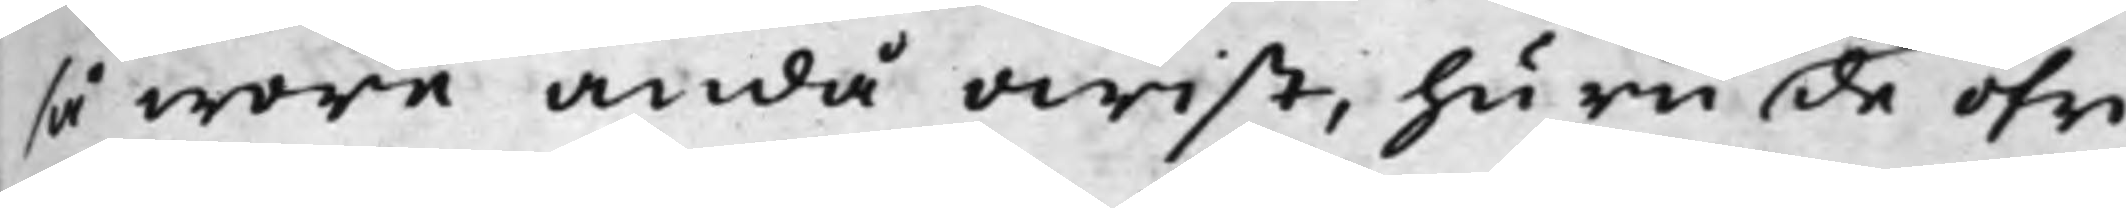så wore ändå owist, huru de öfri¬
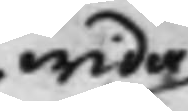wida
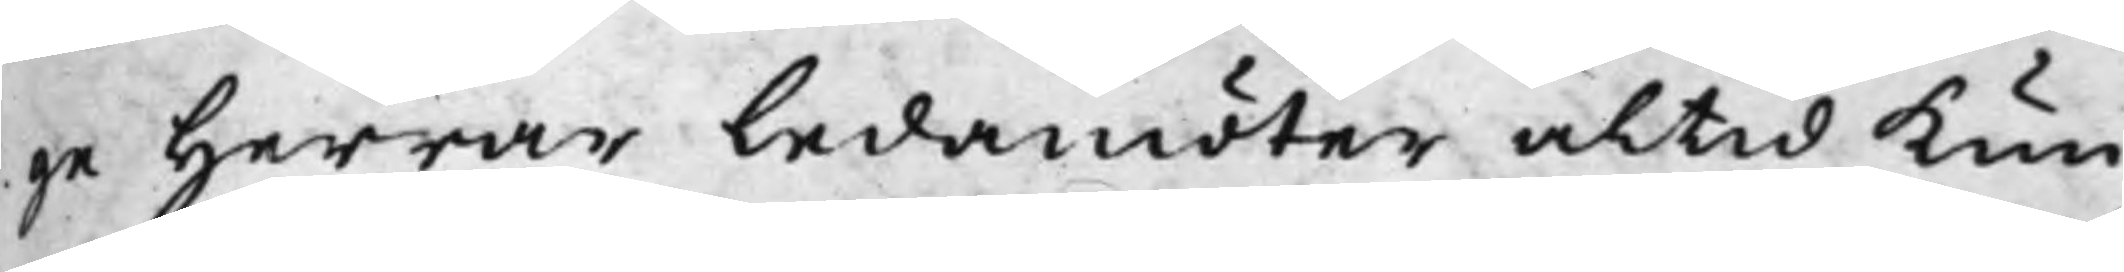ge Herrar Ledamöter altid kun¬
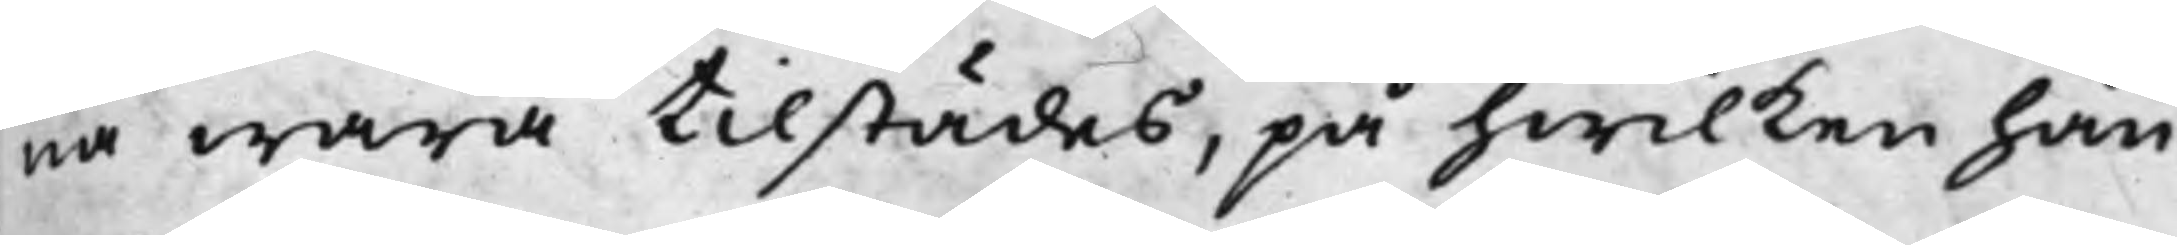na wara tillstädes, på hwilken hän¬
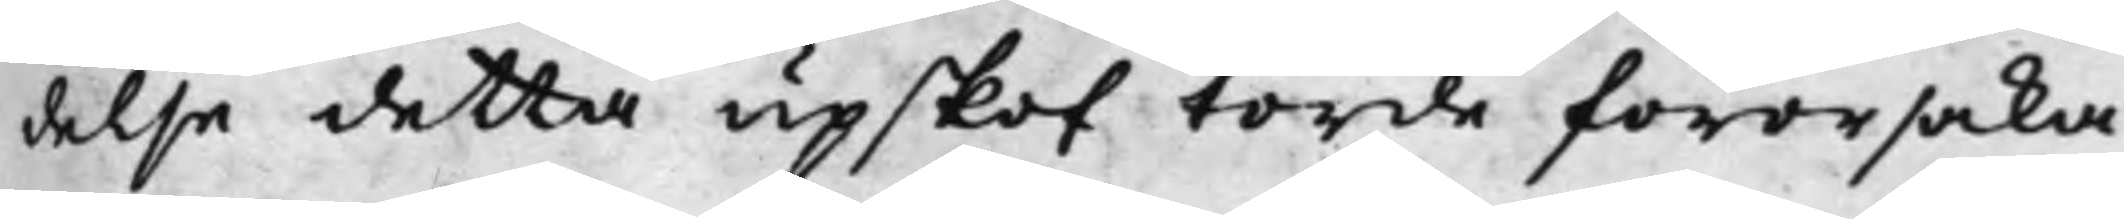delse detta upskof torde förorsaka
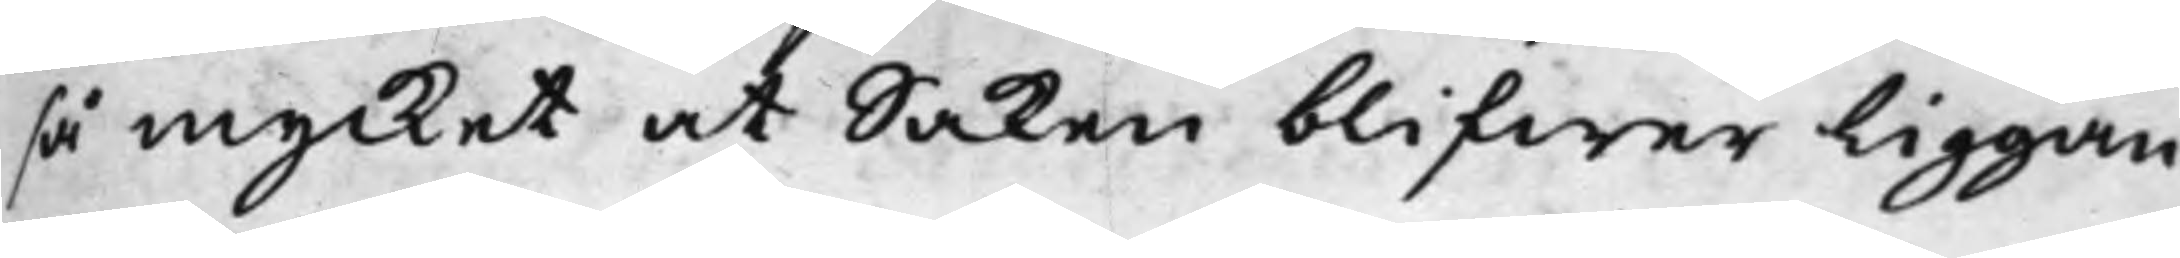så mycket at Saken blifwer liggan¬
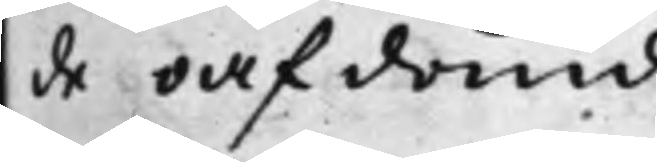de oafdömd.
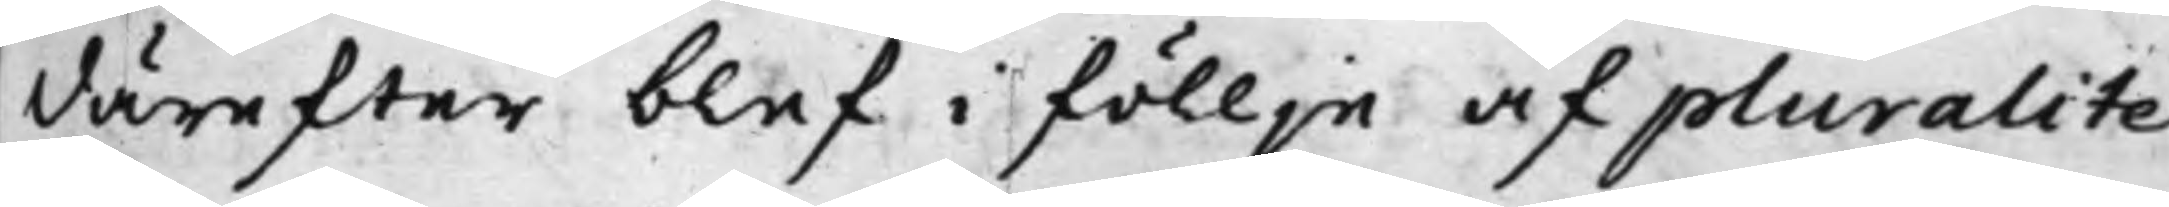Däreffter blef i föllje af pluralite¬
